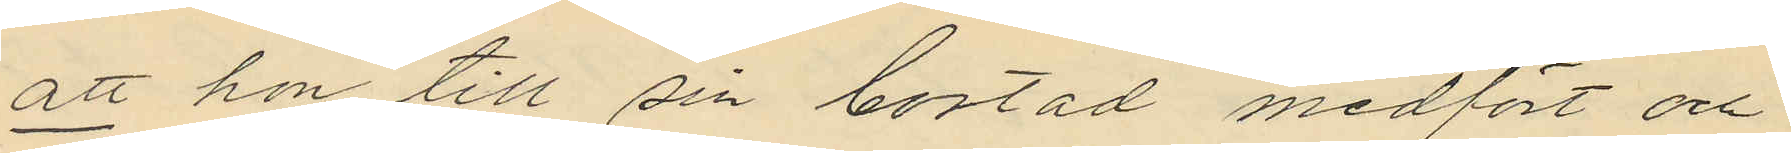att hon till sin bostad medfört och
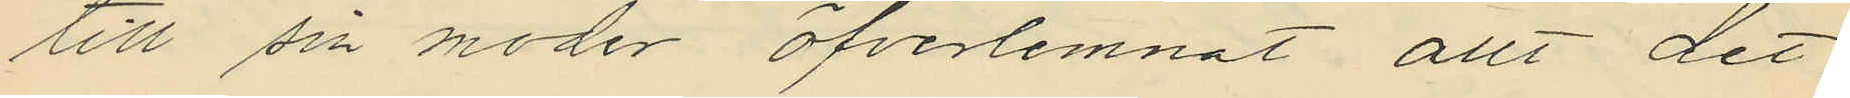till sin moder öfverlemnat allt det
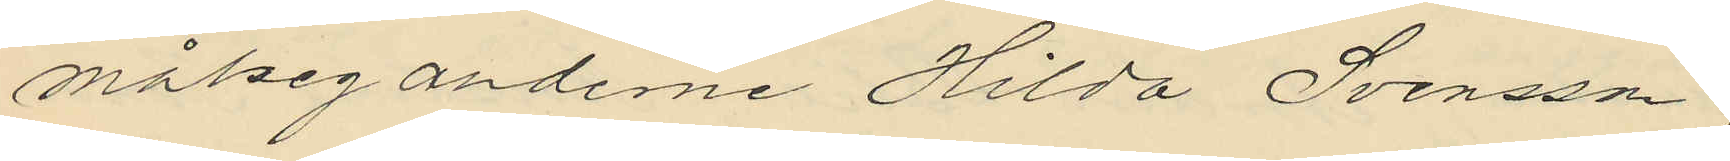målseganderne Hilda Svensson
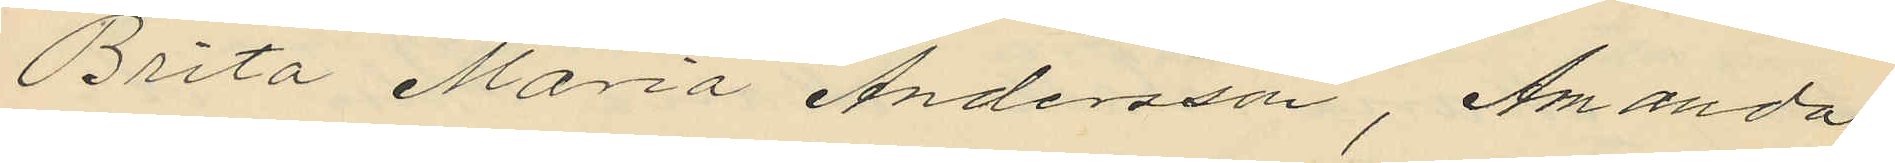Brita Maria Andersson, Amanda
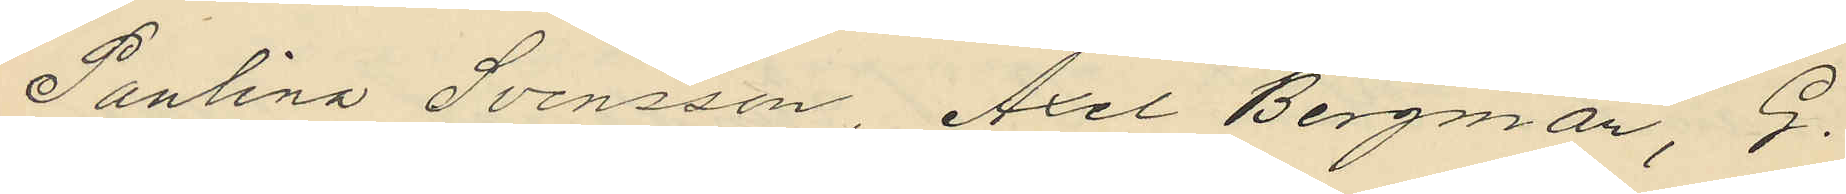Paulina Svensson, Axel Bergman, G.
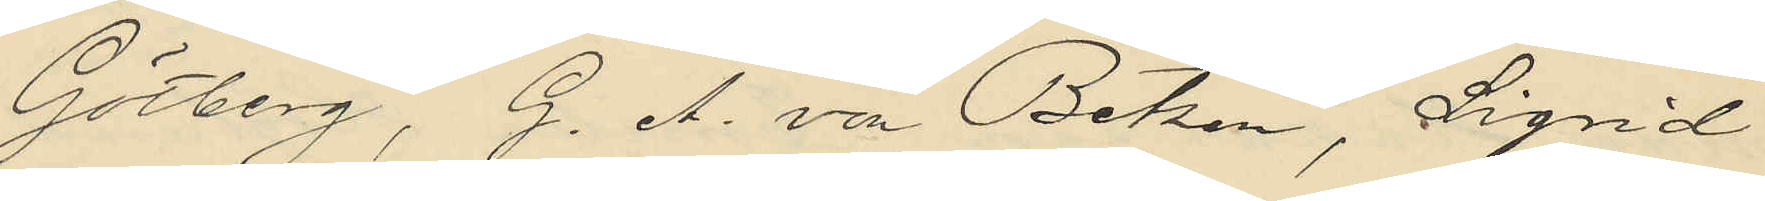Götberg, G. A. von Betzen, Sigrid
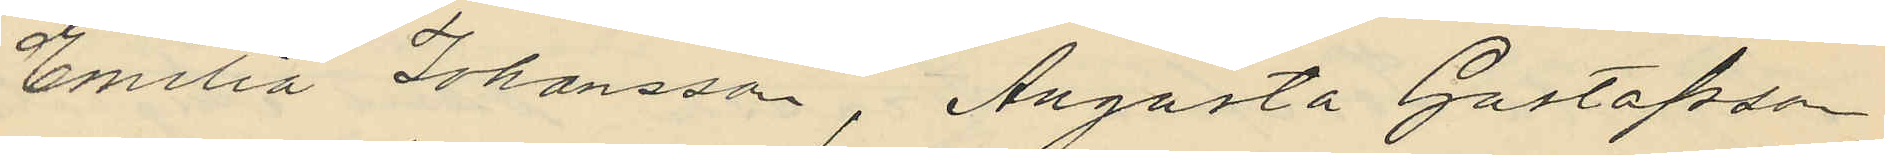Emilia Johansson, Augusta Gustafsson
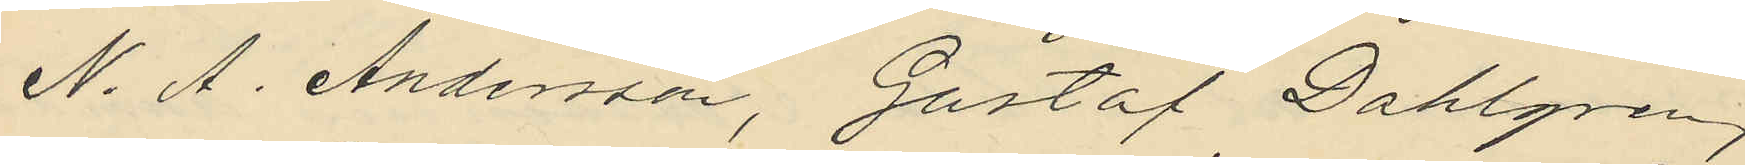N. A. Andersson, Gustaf Dahlgren,
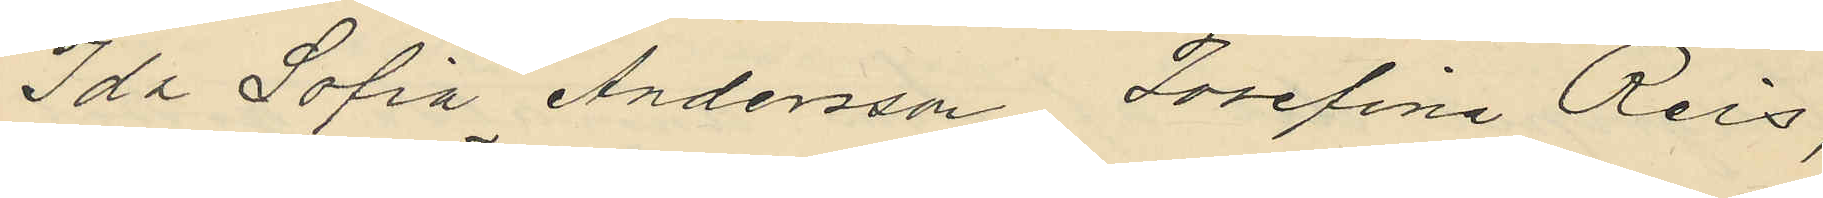Ida Sofia Andersson, Josefina Reis,
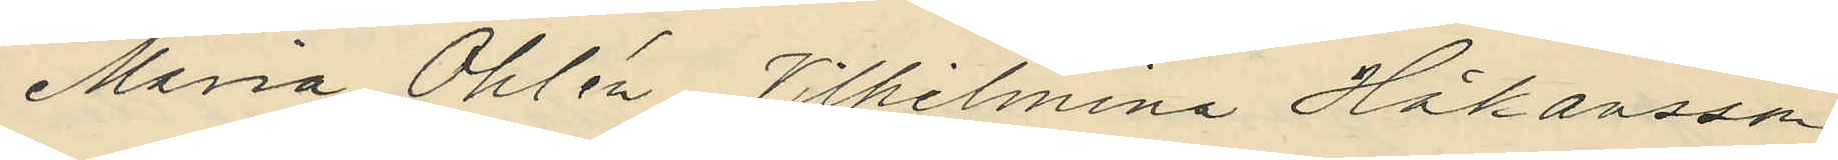Maria Öhlén, Vilhelmina Håkansson
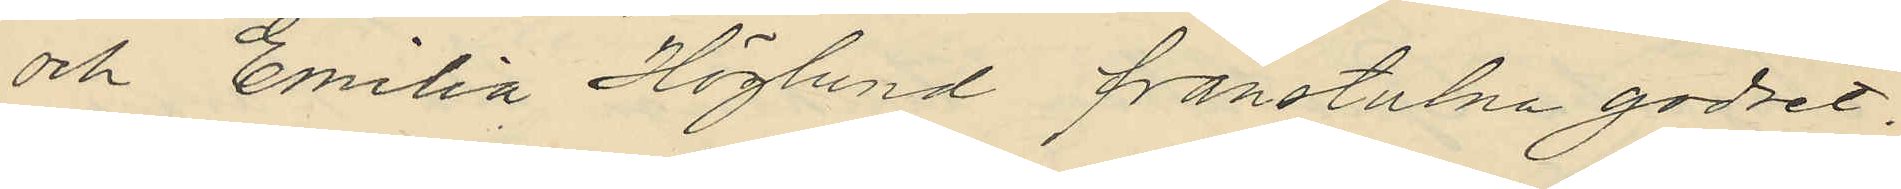och Emilia Höglund frånstulna godset.
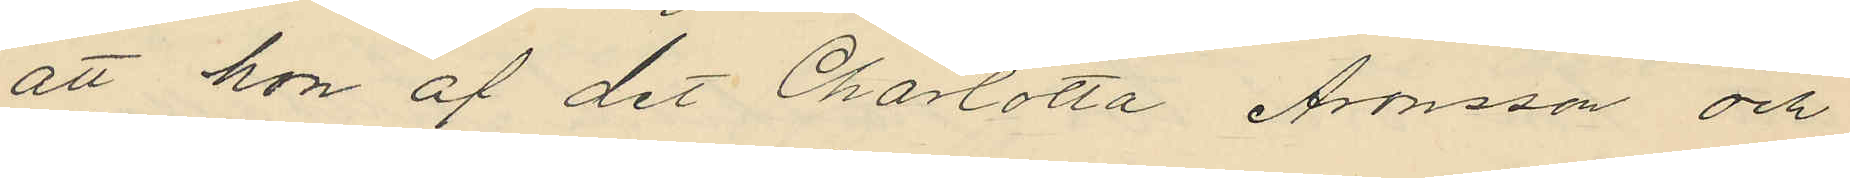att hon af det Charlotta Aronsson och
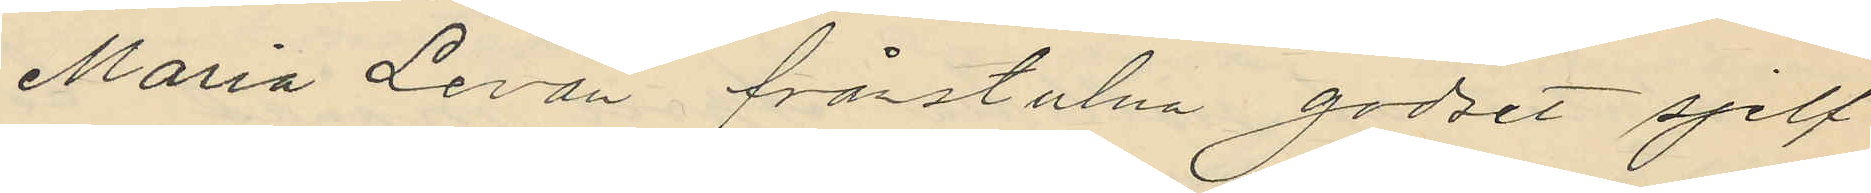Maria Levan frånstulna godset sjelf
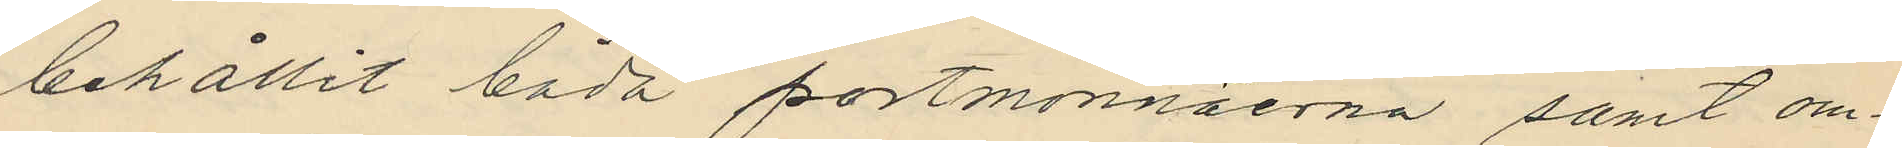behållit båda portmonnäerna samt om¬
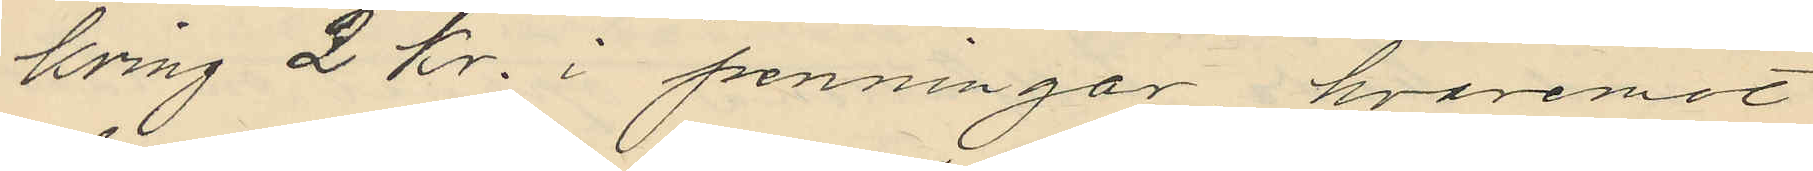kring 2 kr. i penningar, hvaremot
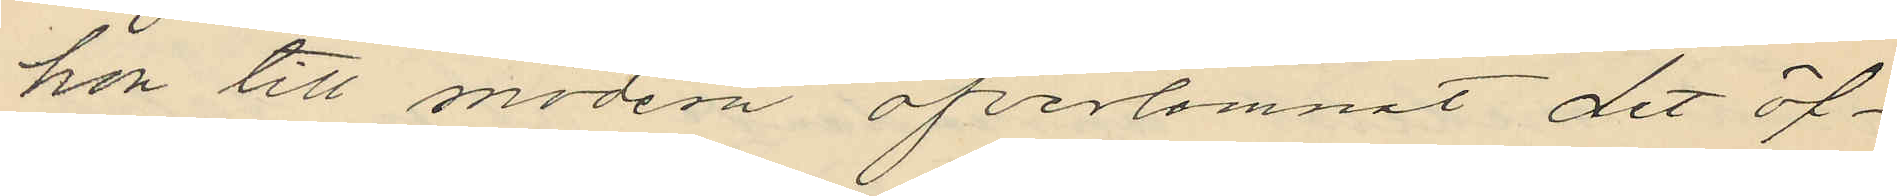hon till modern öfverlemnat det öf¬
